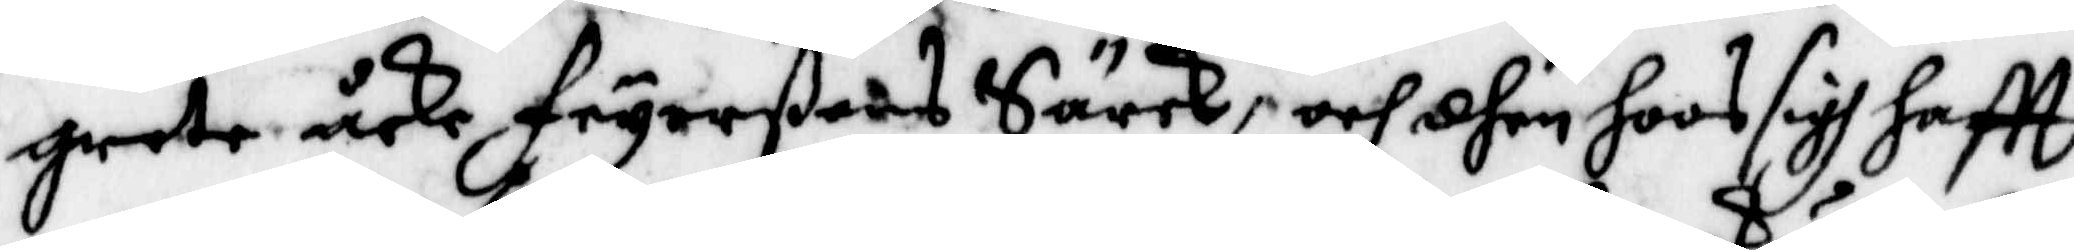greta åkes Feyerßons Srck, och dhen hoos sigh haftt
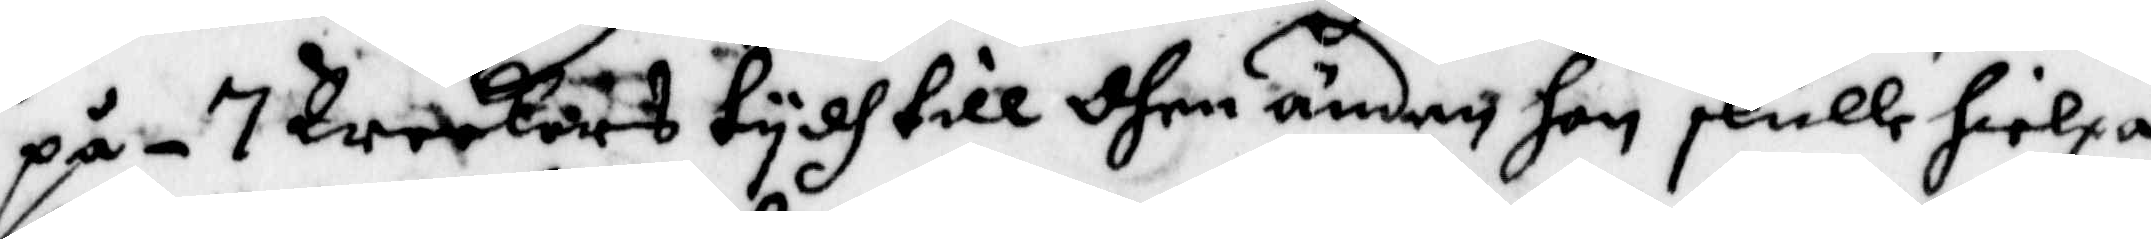på - 7 weckors tydh till dhen änden hon skulle hielpa
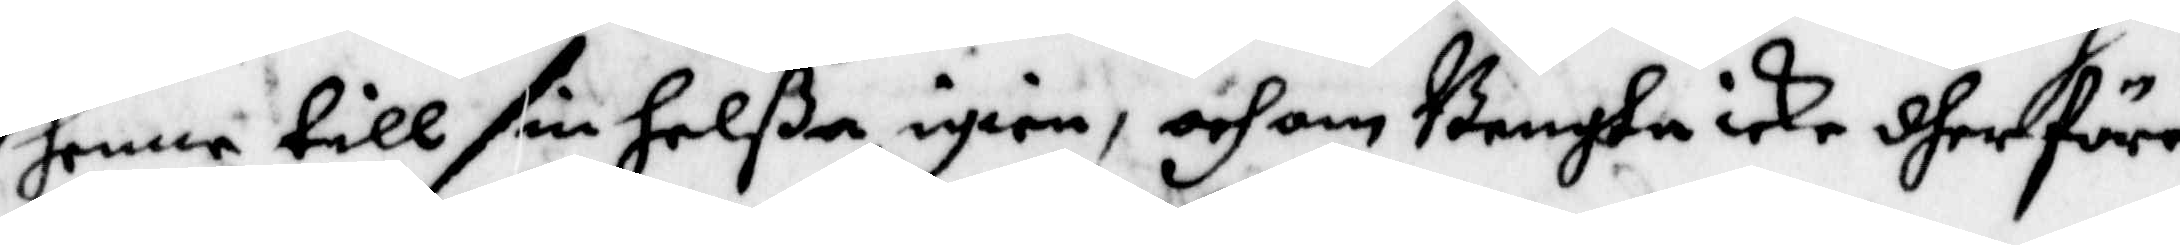henne till sin helßa igien, och om Bengta icke dher före
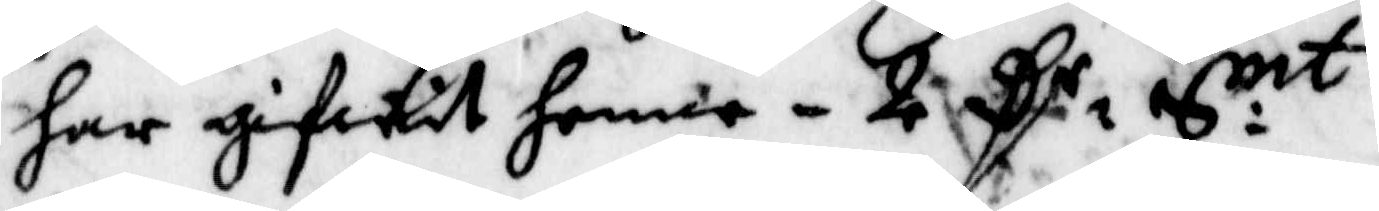har gifwit henne - 2 Rr S:mt
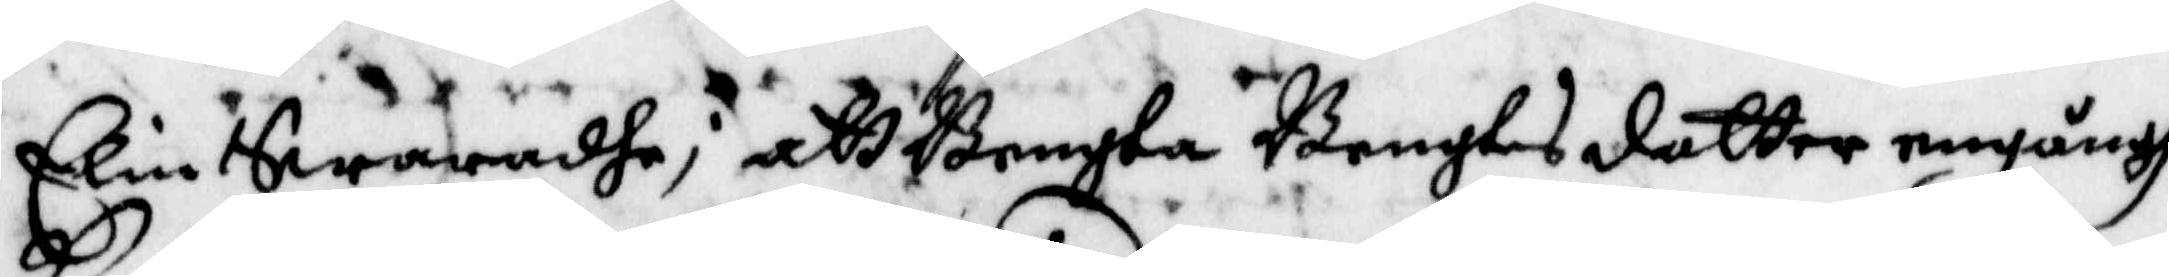Elin Swaradhe; att Bengta Bengtsdotter engångh
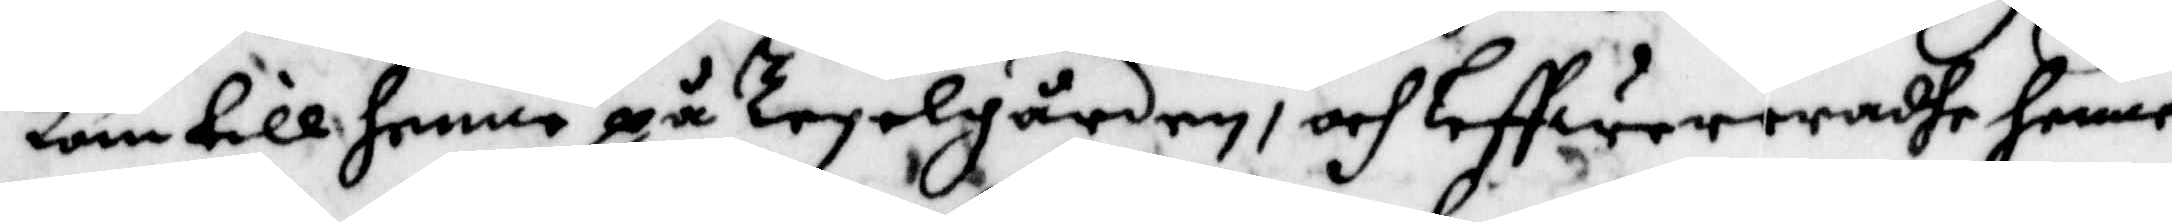kom till henne på Tegelgården, och leffwererahe henne
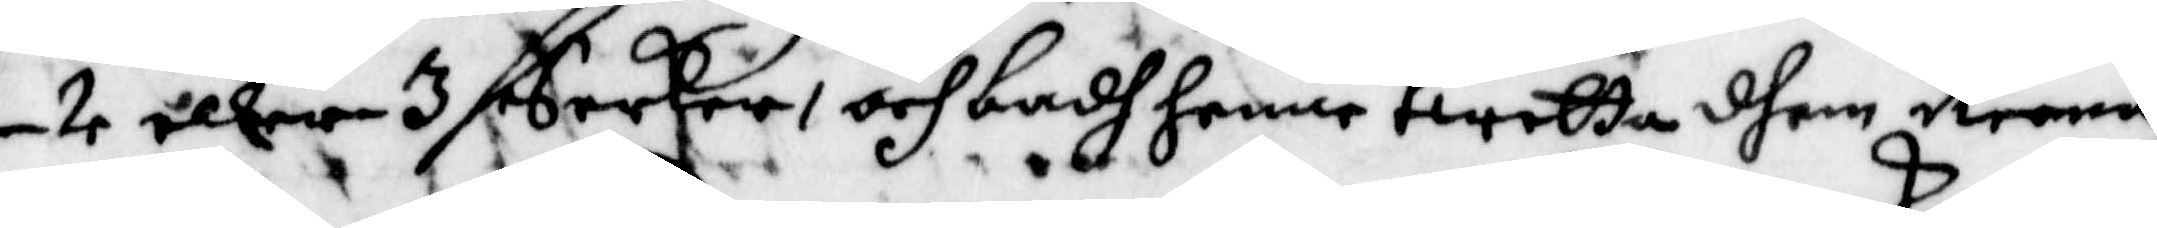- 2 eller 3 Serker, och badh henne twetta dhem Reena,
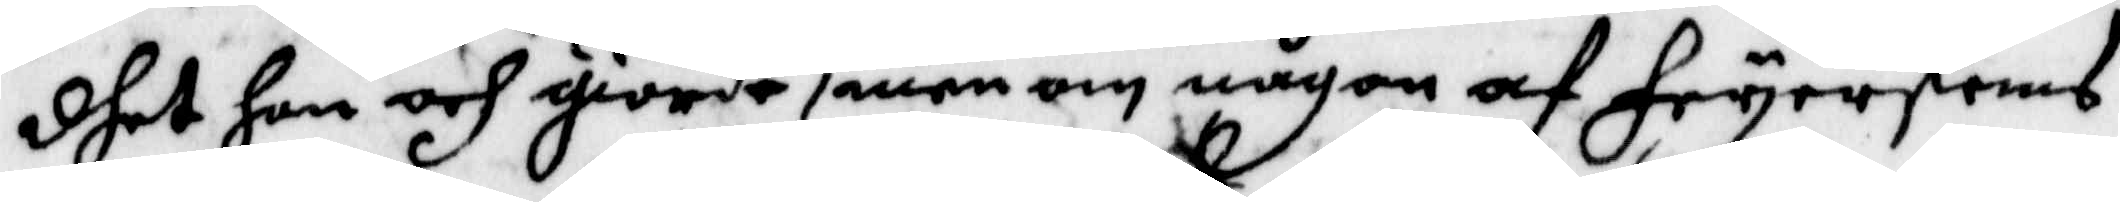dhet hon och giorde, men om någon af Feyerskans
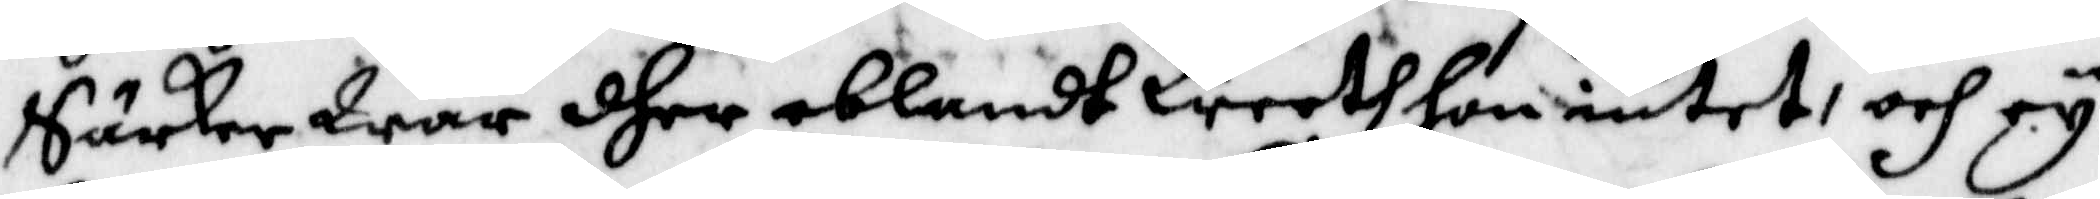Särkar war dher iblandt Weeth hon intet, och ey
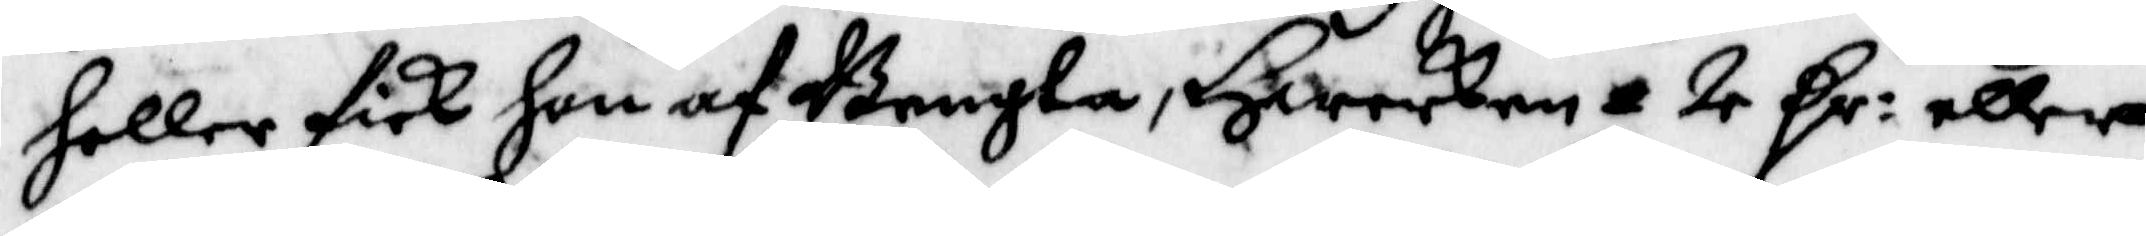heller ffick hon af Bengta, Hwarken 2 Rr: eller
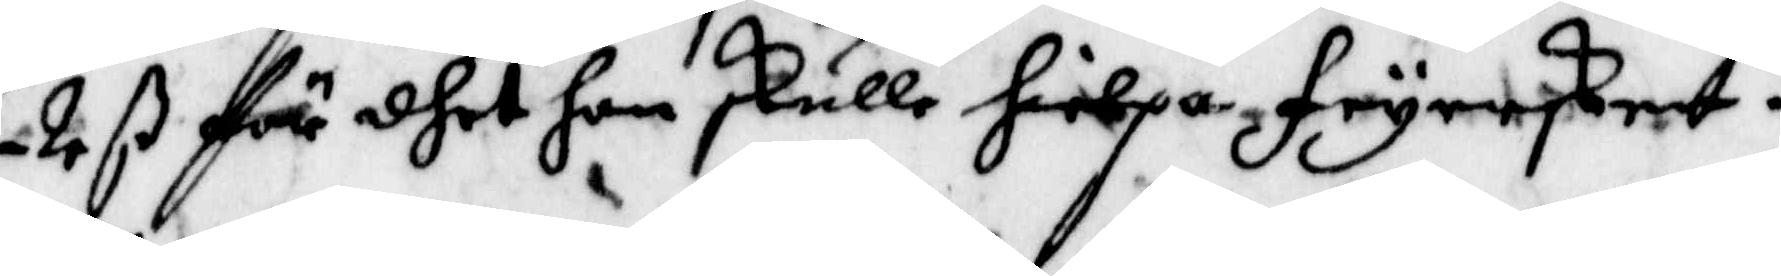2 ß för dhet hon skulle hielpa Feyersken.
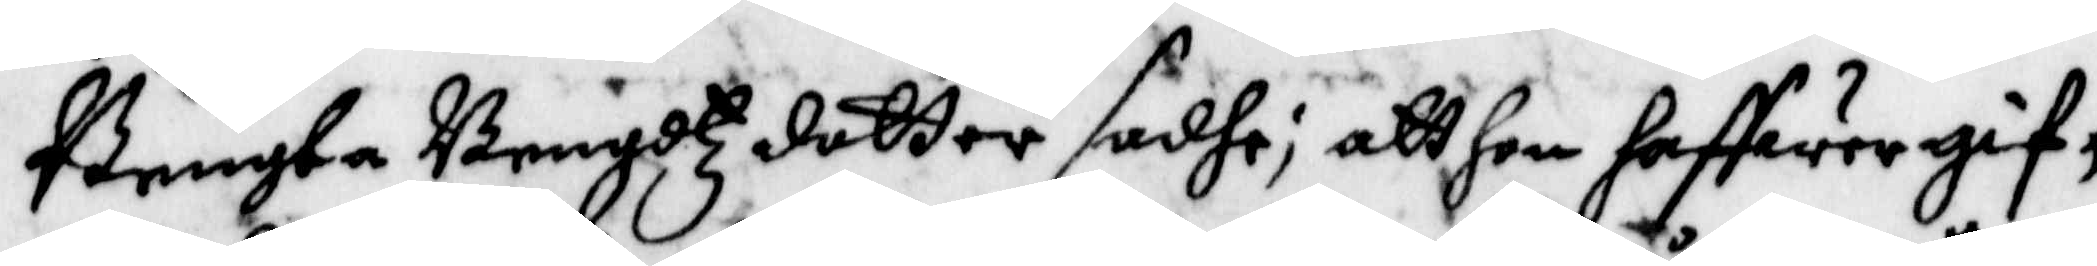Bengta Bengdtz dotter sadhe; att hon haffwer gif¬
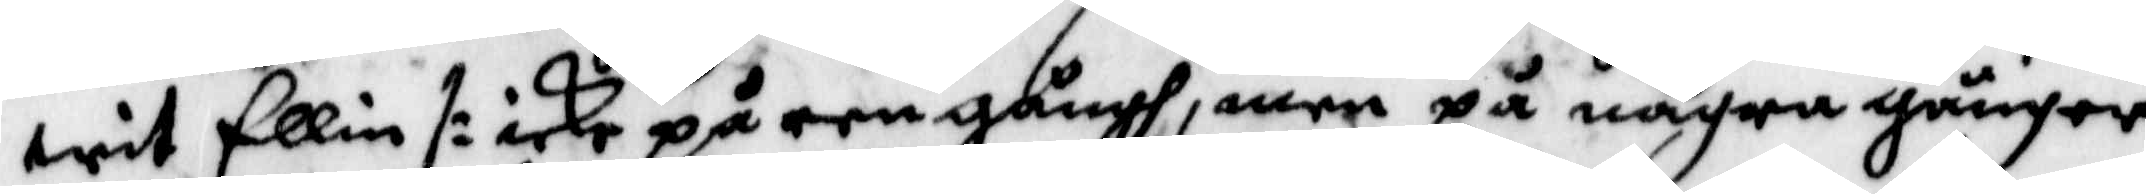wit Ellin /: icke på een gångh, men på några gånger
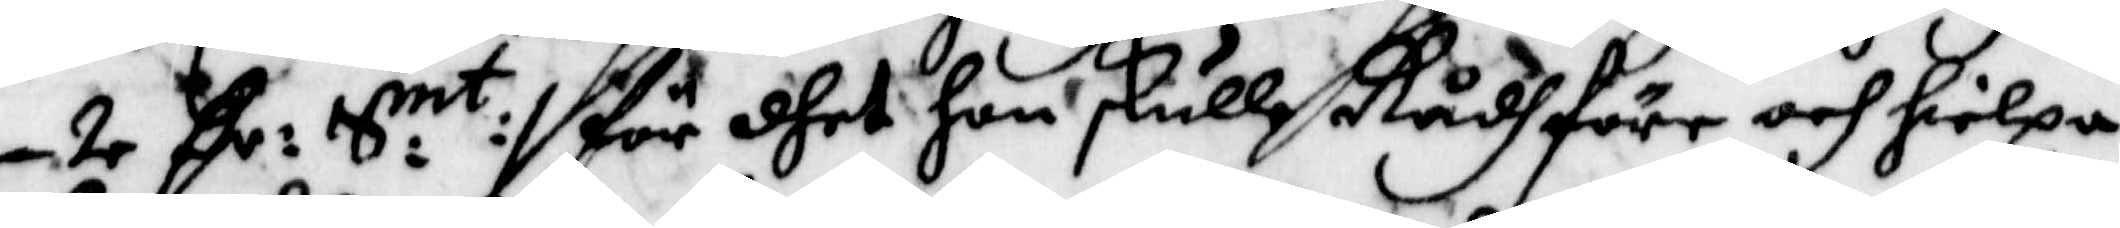- 2 Rr: S:mt :/ för dhet hon skulle Rådh före och hielpa
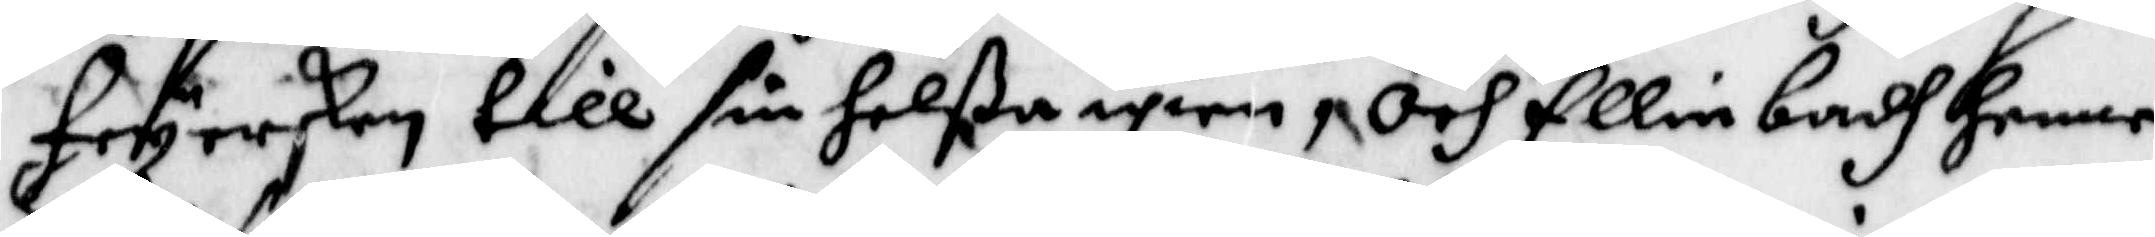Feyersken till sin helßa igien, och Ellin badh henne
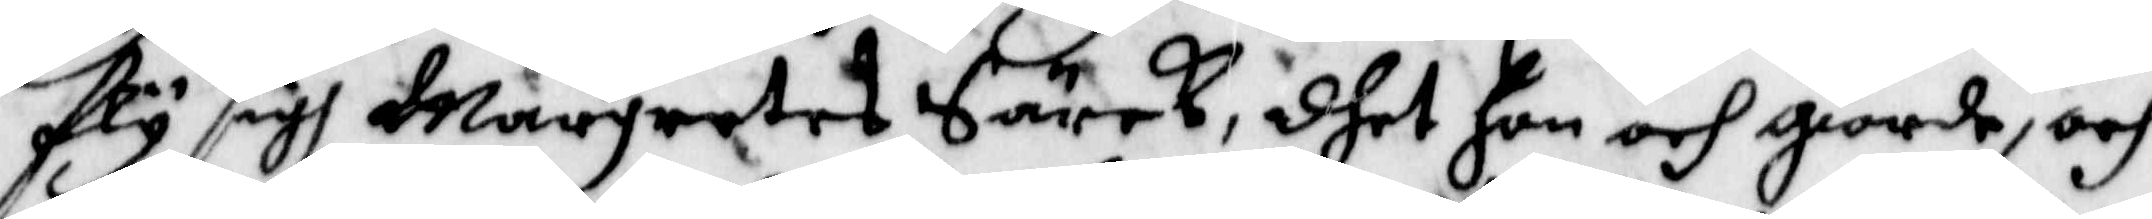Fly sigh Margretas Särck, dhet hon och giore, och
